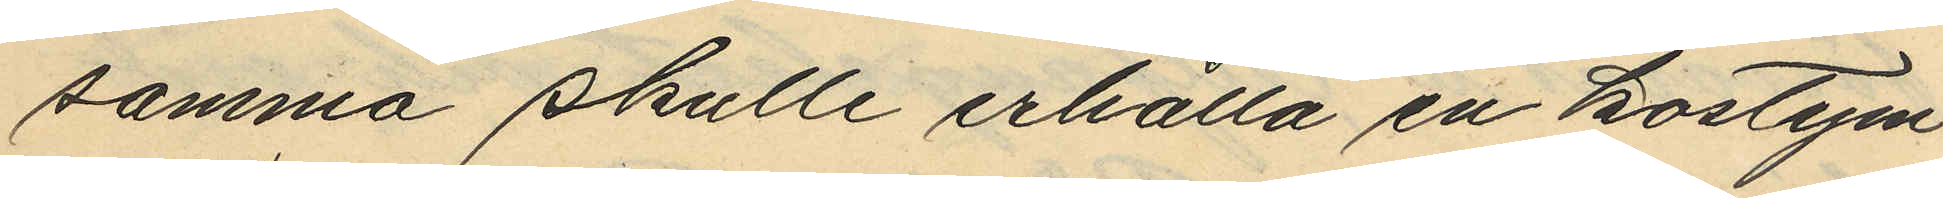samma skulle erhålla en kostym
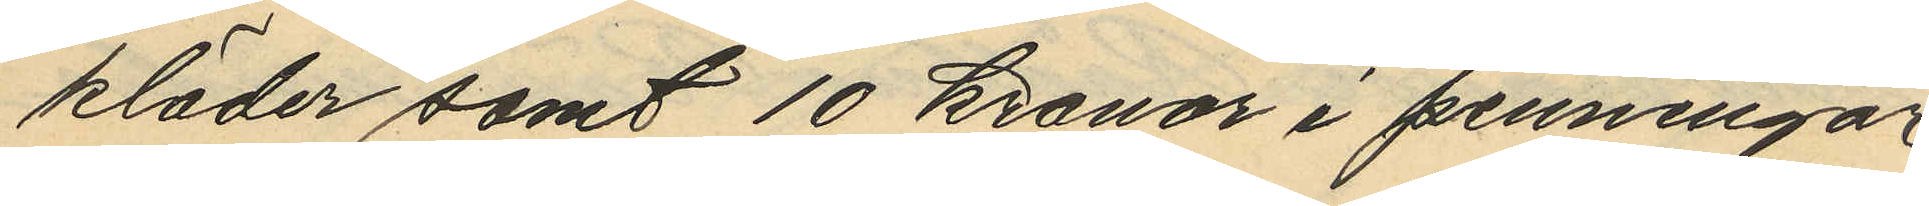kläder samt 10 kronor i penningar
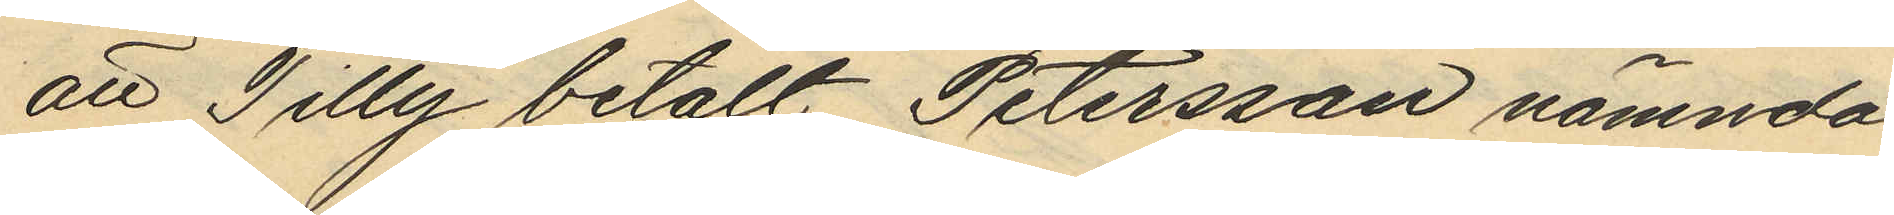att Tilly betalt Petersson nämnda
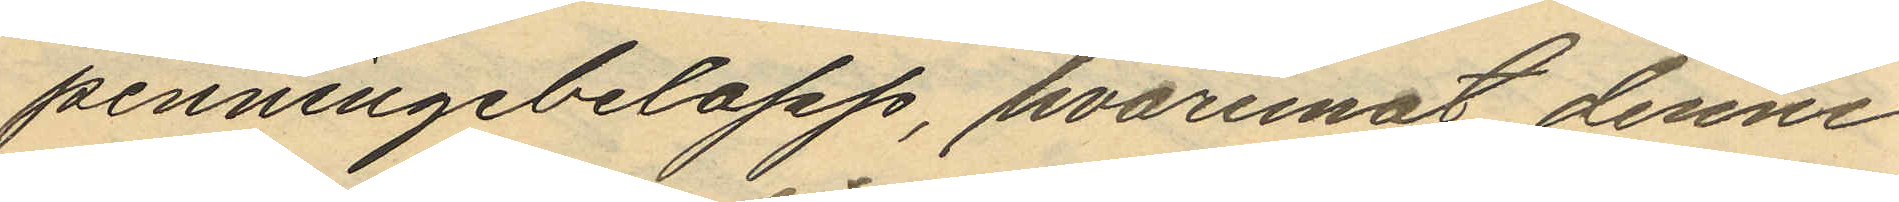penningebelopp, hvaremot denne
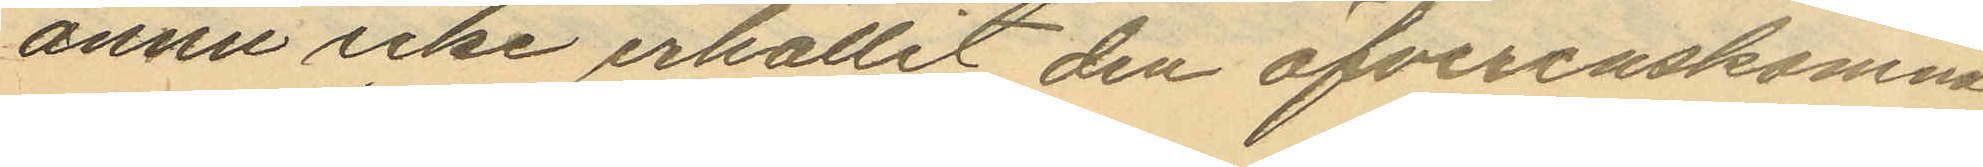ännu icke erhållit den öfverenskomna
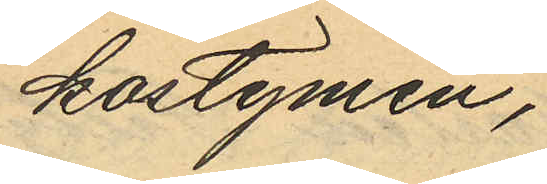kostymen;
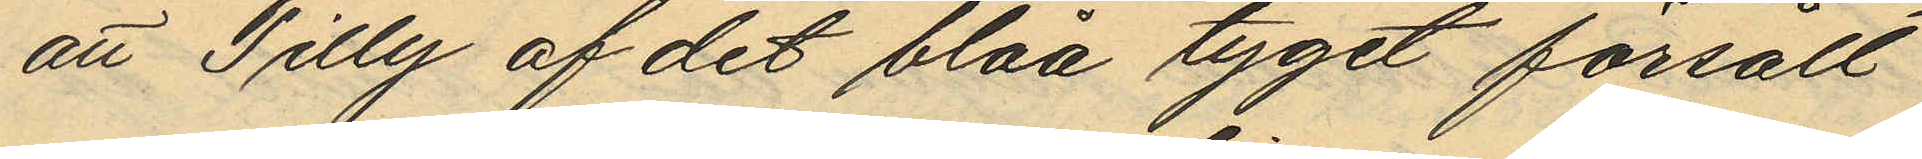att Tilly af det blåa tyget försålt
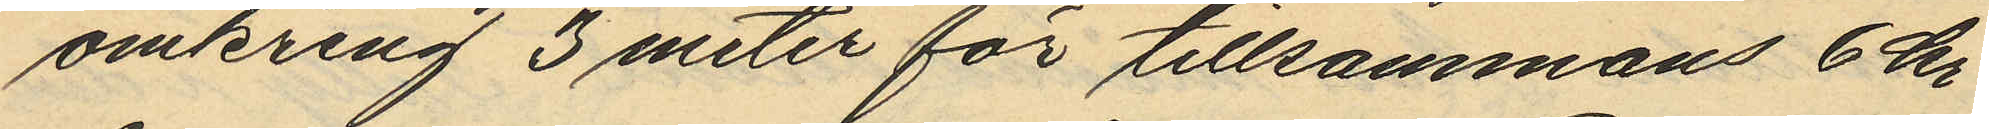omkring 3 meter för tillsammans 6 kr
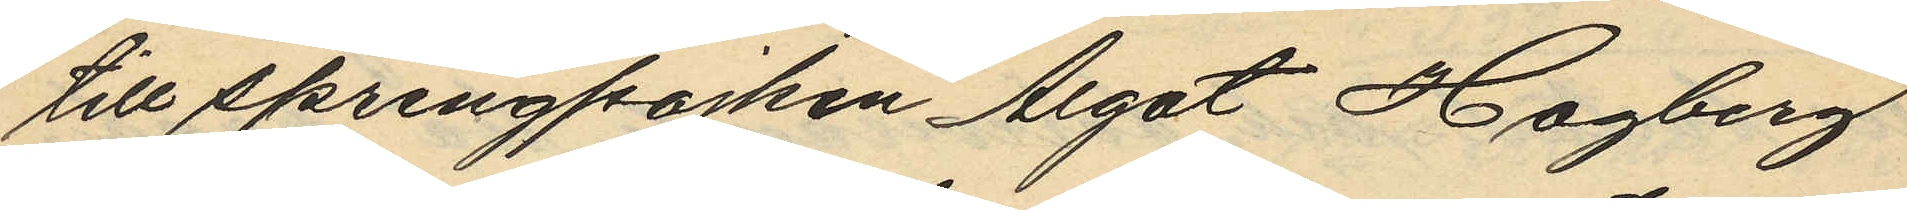till springpojken Algot Hagberg
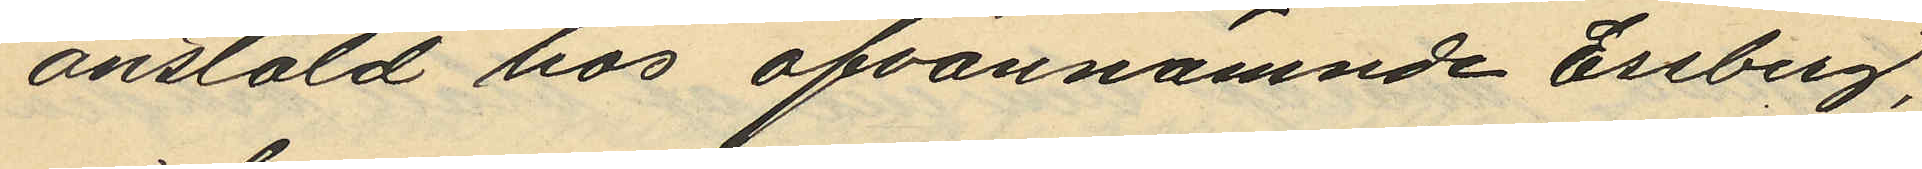anstäld hos ofvannämnde Essberg,
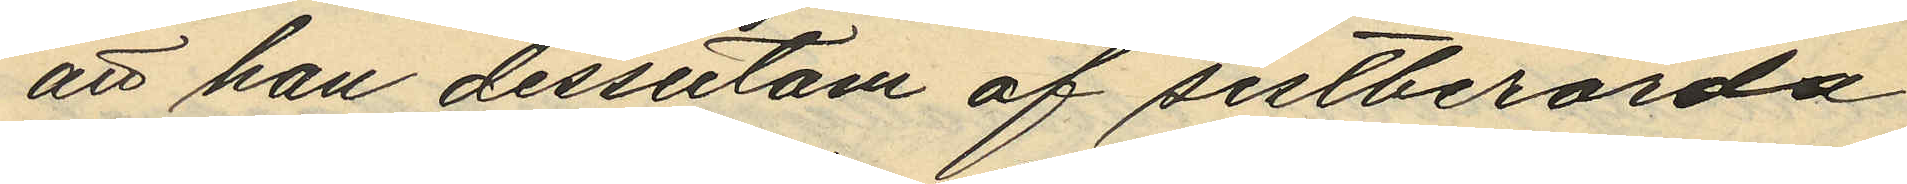att han dessutom af sistberörda
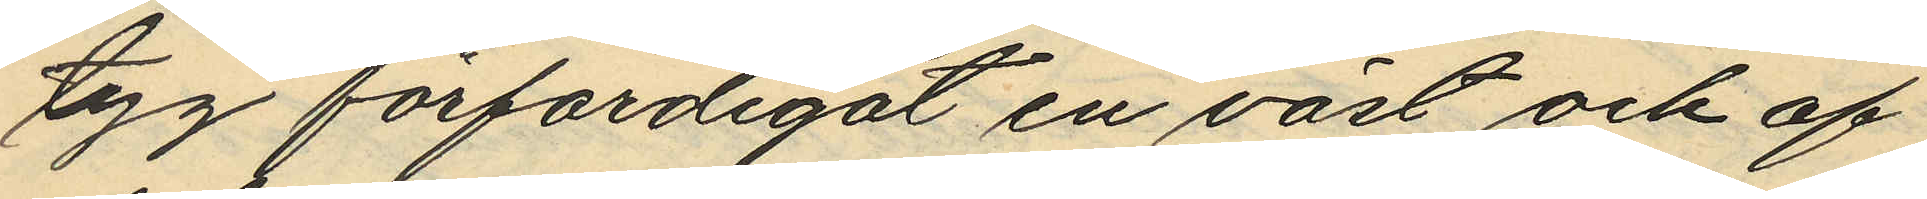tyg förfärdigat en väst och af
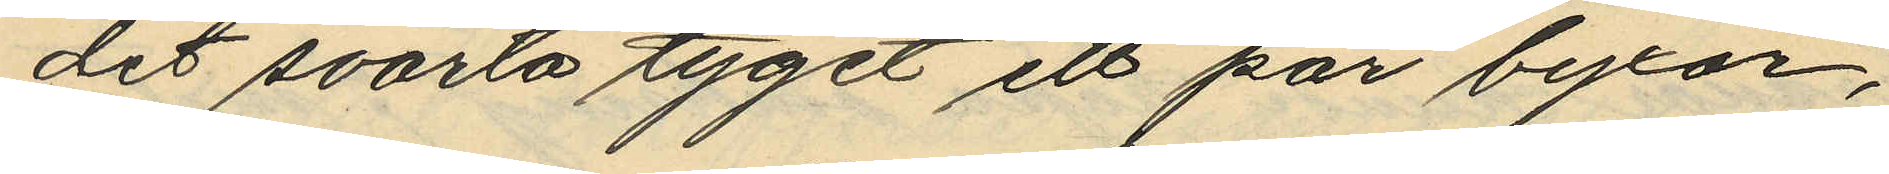det svarta tyget ett par byxor,
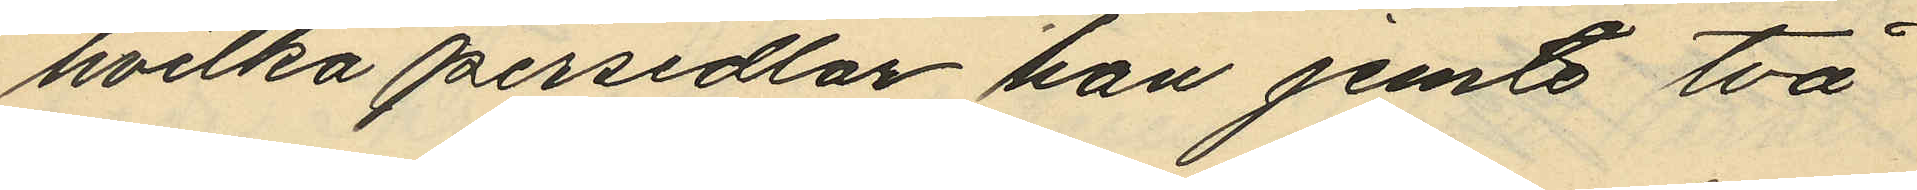hvilka persedlar han jemte två
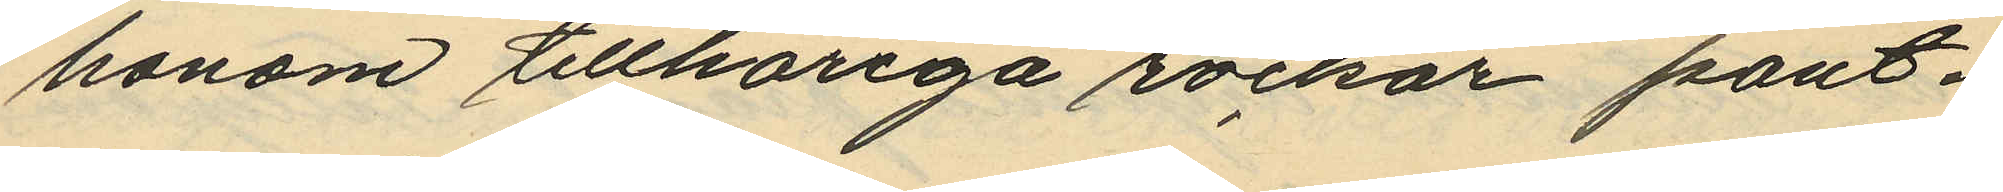honom tillhöriga rockar pant¬
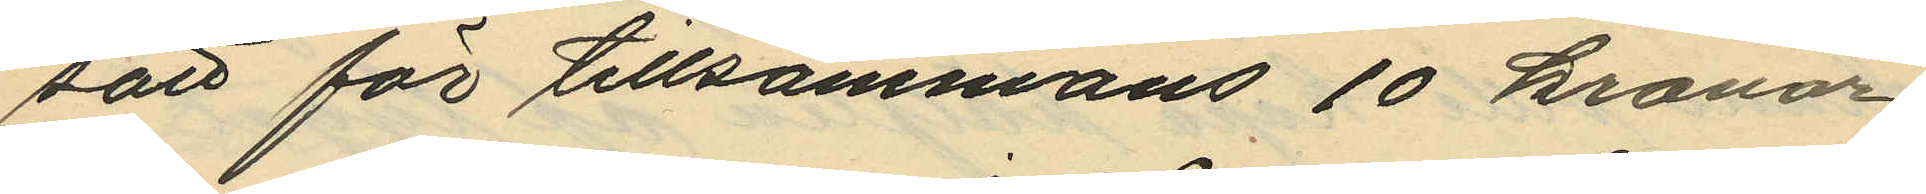satt för tillsammans 10 kronor
